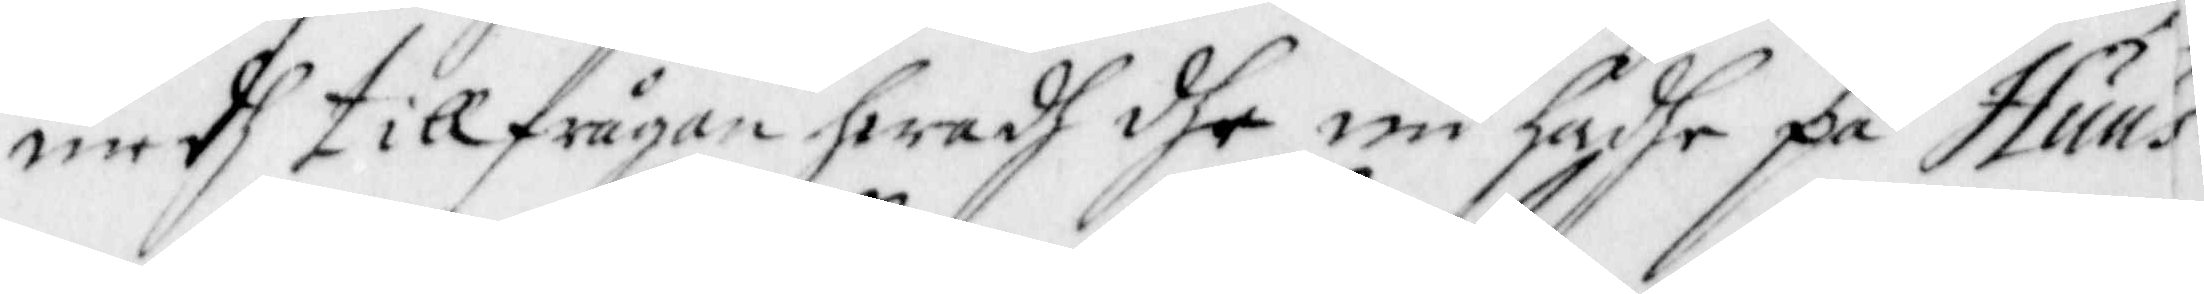medh tillfrågan hwadh dhe nu hadhe på Huus¬
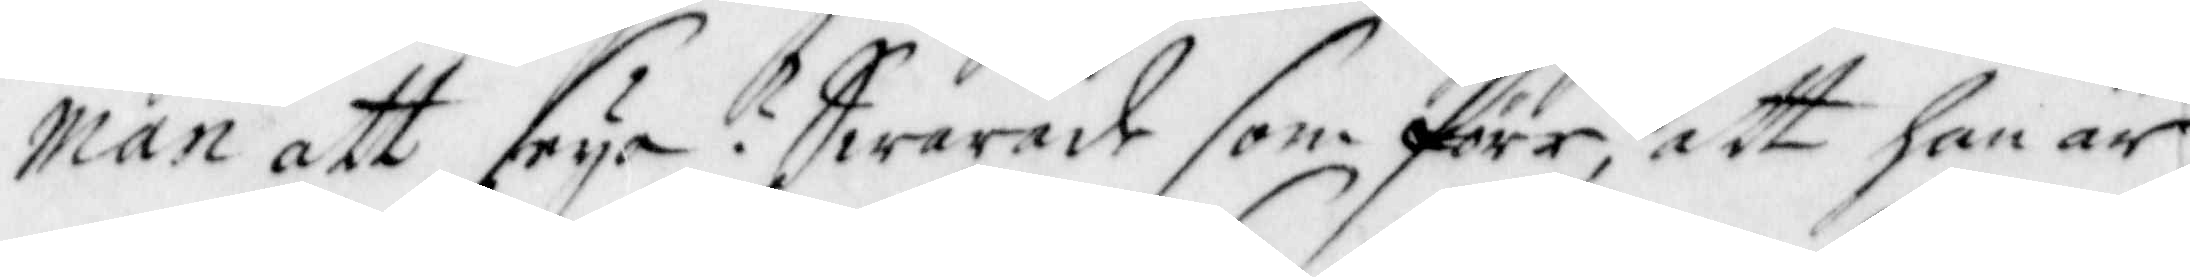man att seya? Swarade som förr, att han är
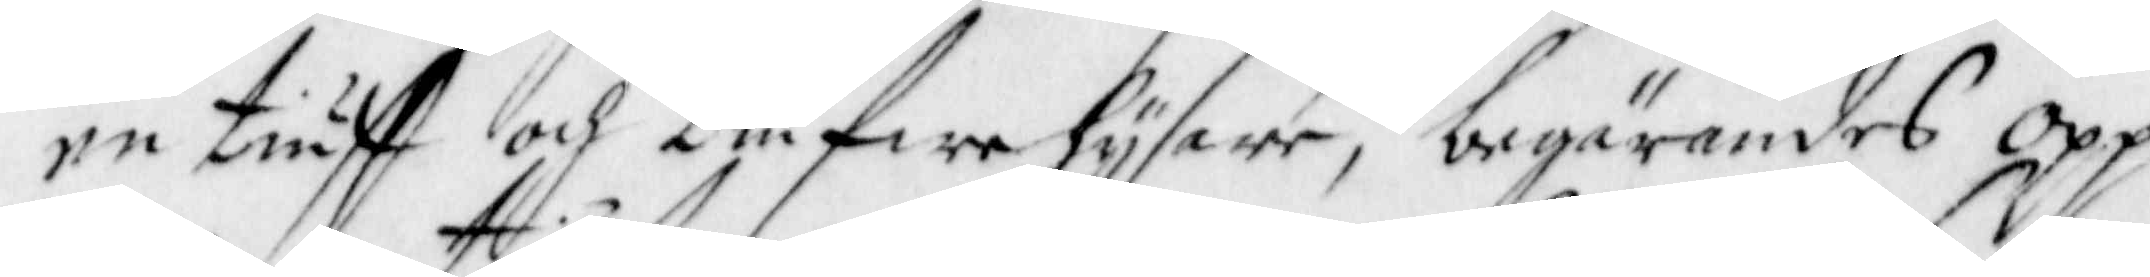en tiuff och tiufwehysare, begärandes Opp
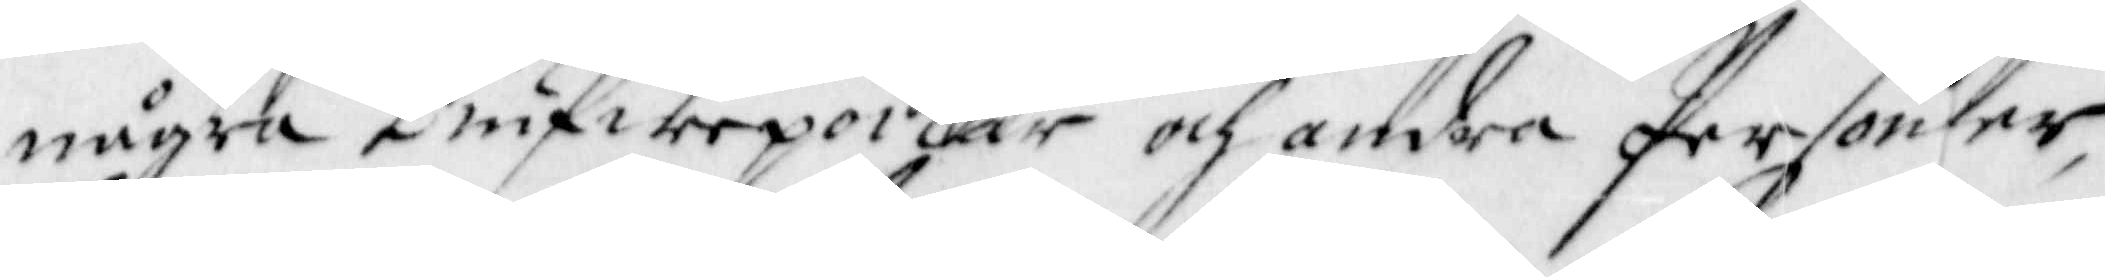några tiufwepoikar och andra Personer,
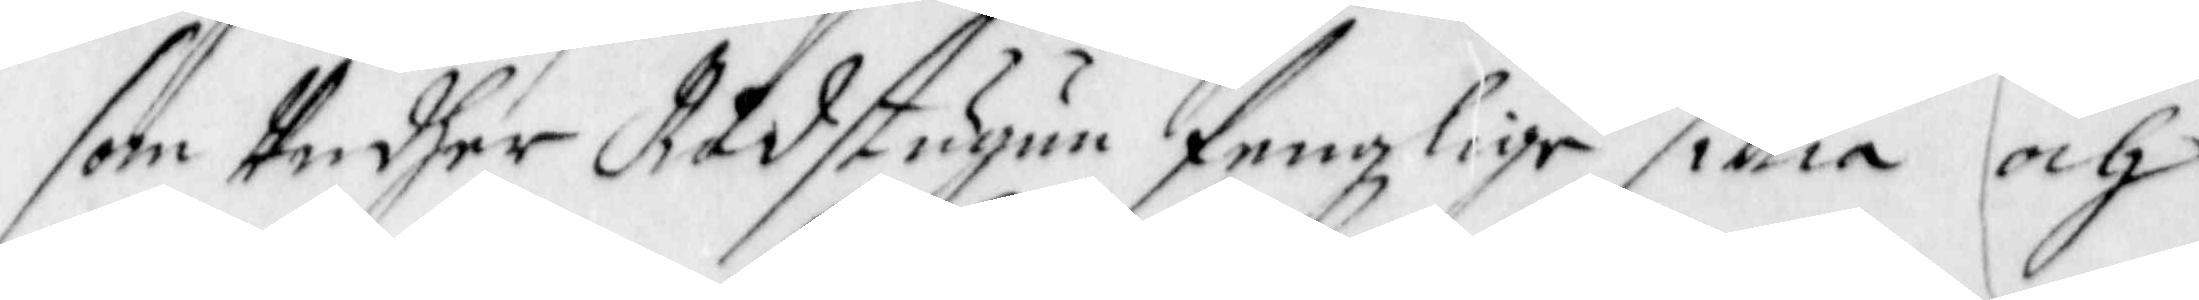som Undher Rådstugun fengzlige sittia och
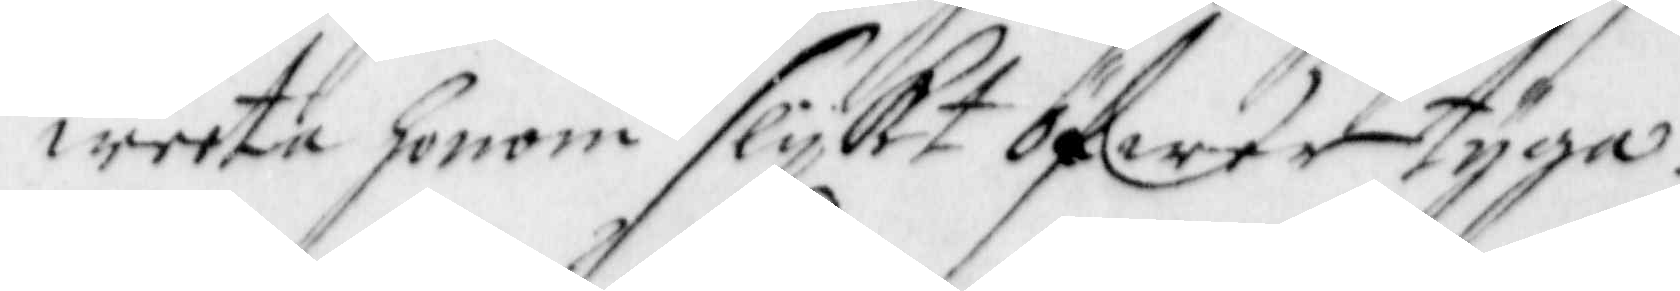weeta honom slijkt öfwertyga.
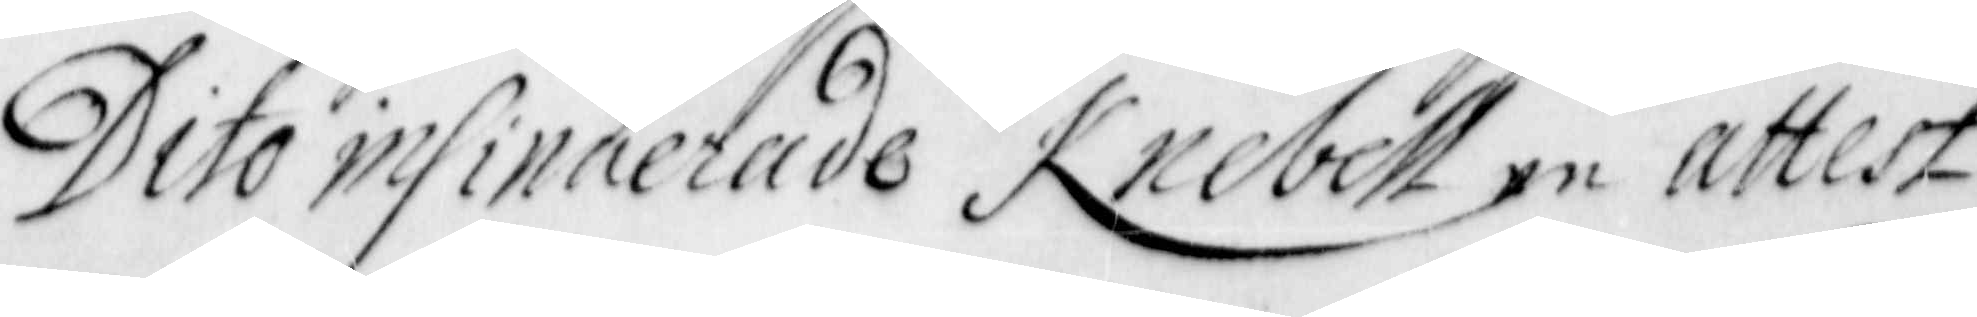Dito insinuerade Knebell en attest
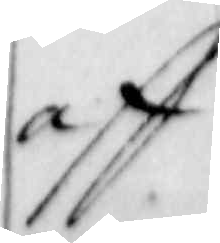aff
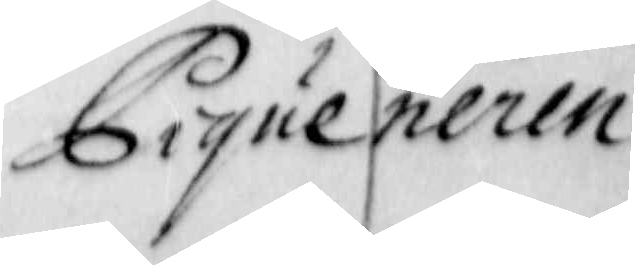Piqueneren
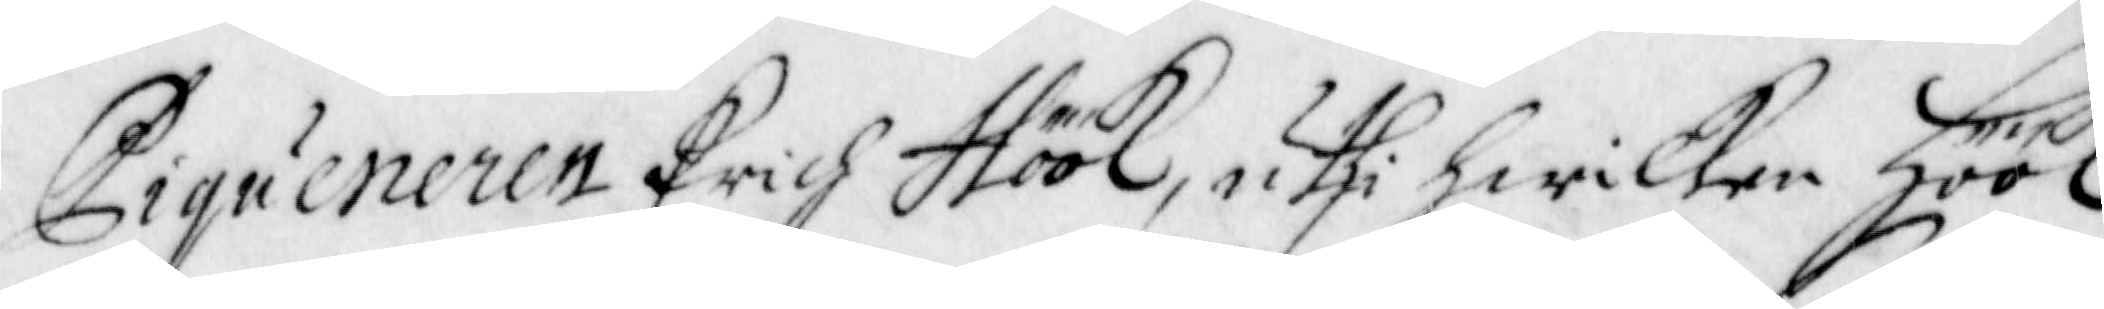Piqueneren Erich Höök, uthi hwilken Höök
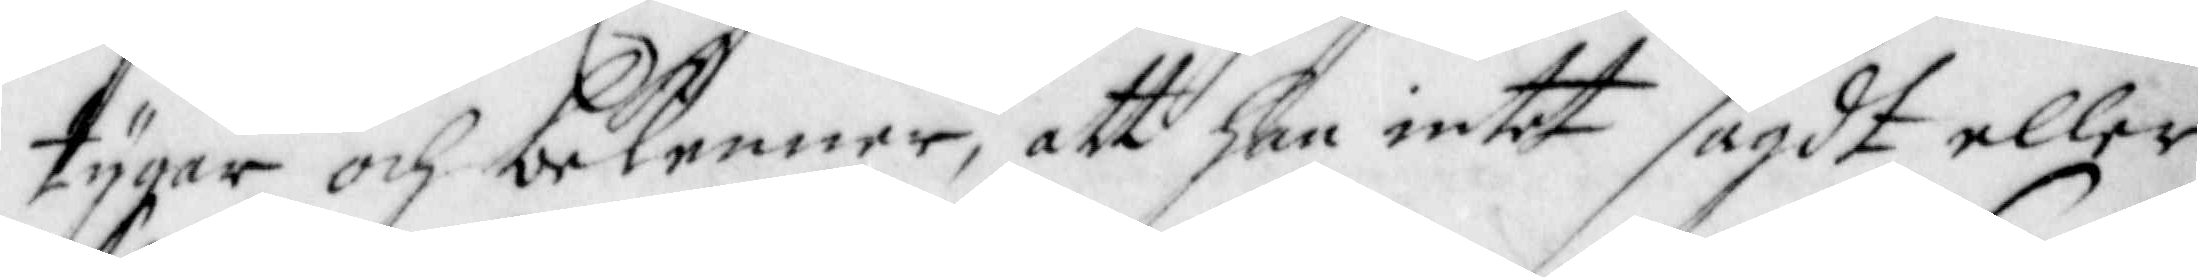tygar och bekenner, att han intet sagdt eller
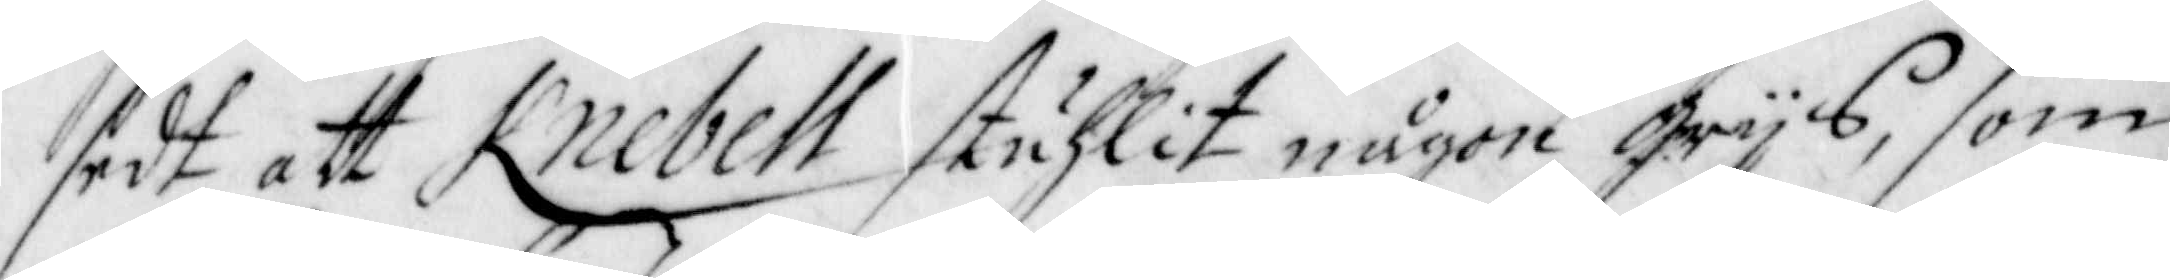sedt att Knebell stuhlit någon Grijs, som
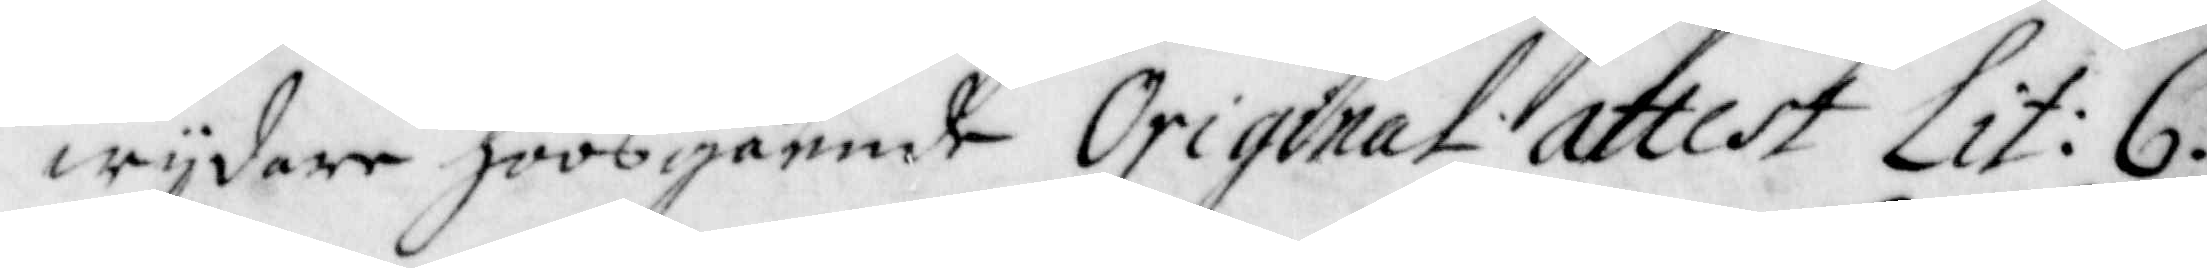wijdare hoos gående Original attest Lit: C.
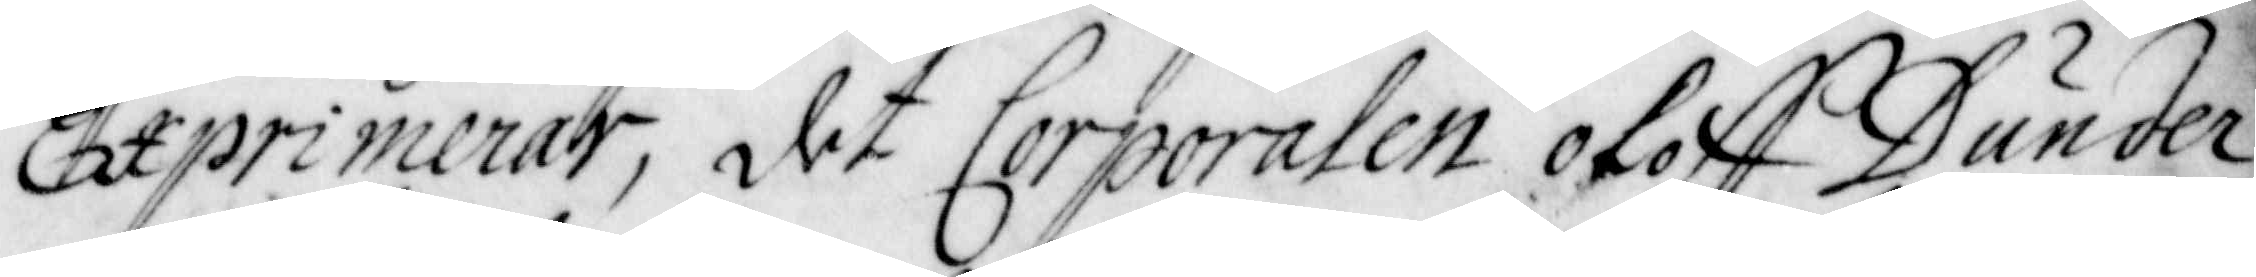Exprimerar, det Corporalen Oloff Dunder
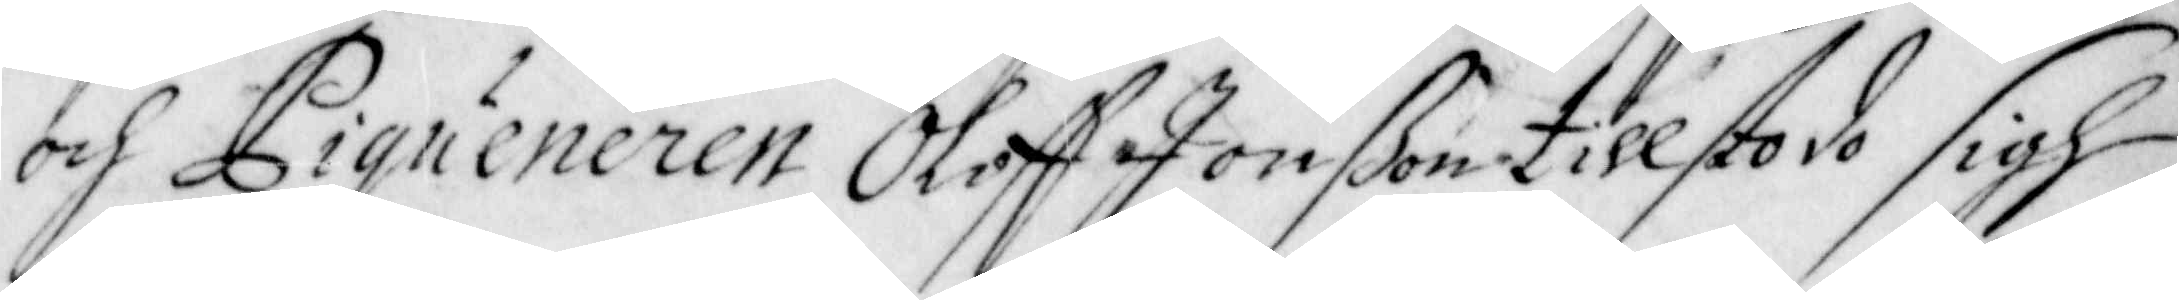och Piqueneren Oloff Jonßon tillstodo sigh
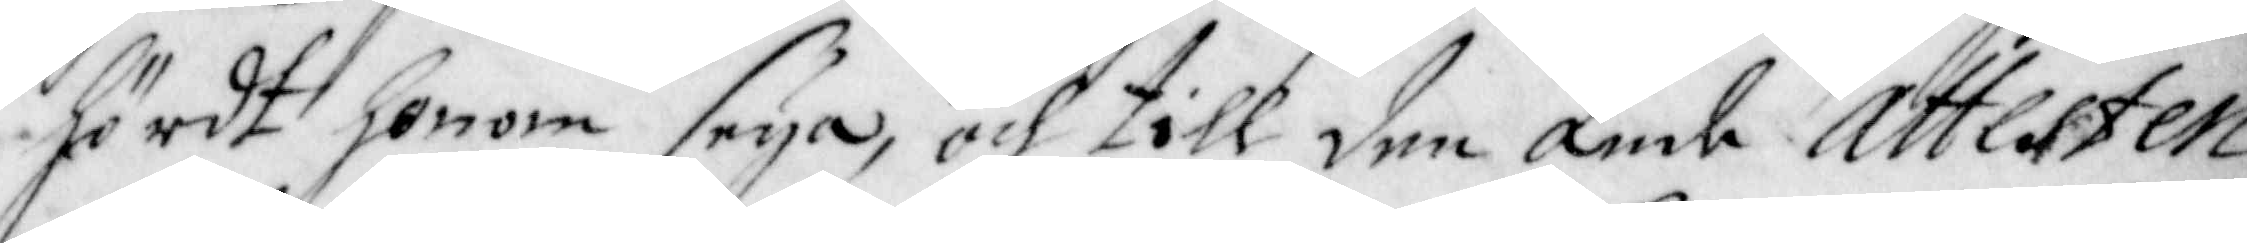hördt honom seya, och till den ände Attesten
